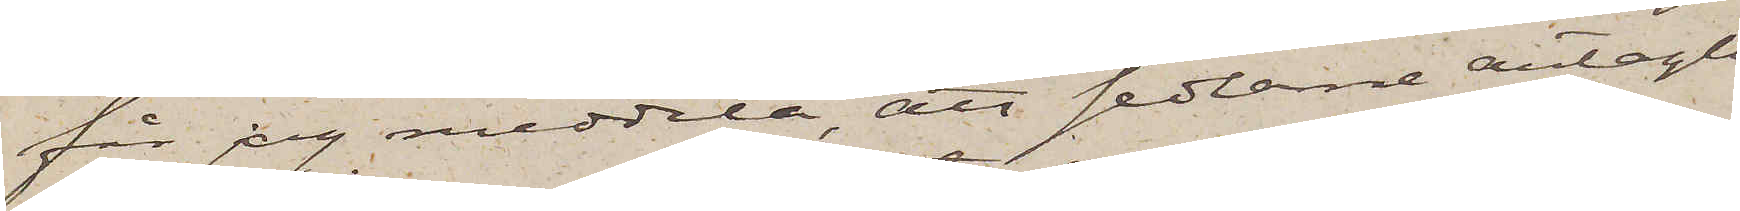får jag meddela, att sedlarne antagli¬
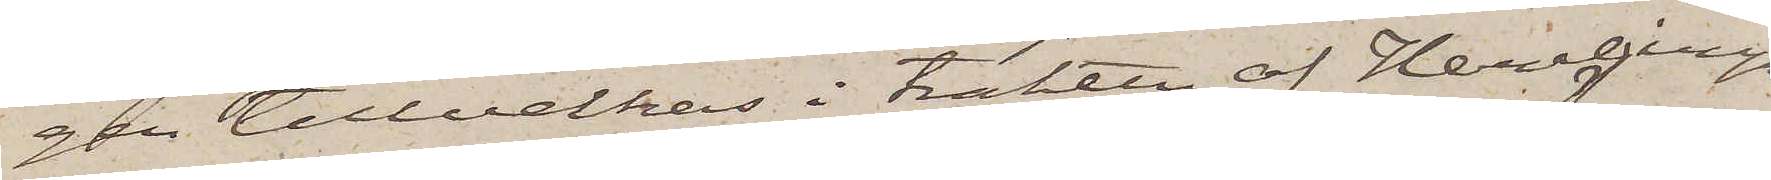gen tillverkas i trakten af Herrljunga
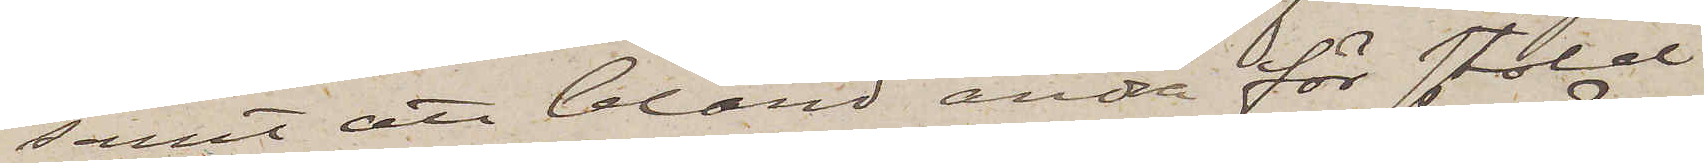samt att bland andra för stöld
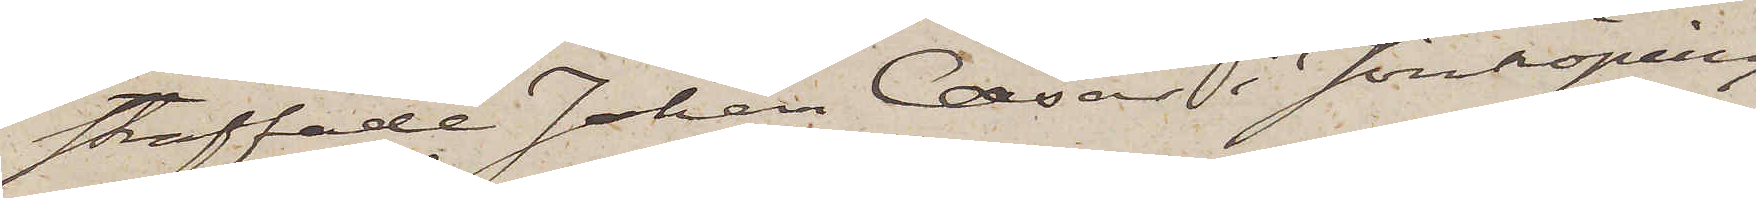straffade Johan Cæsar i Jönköping
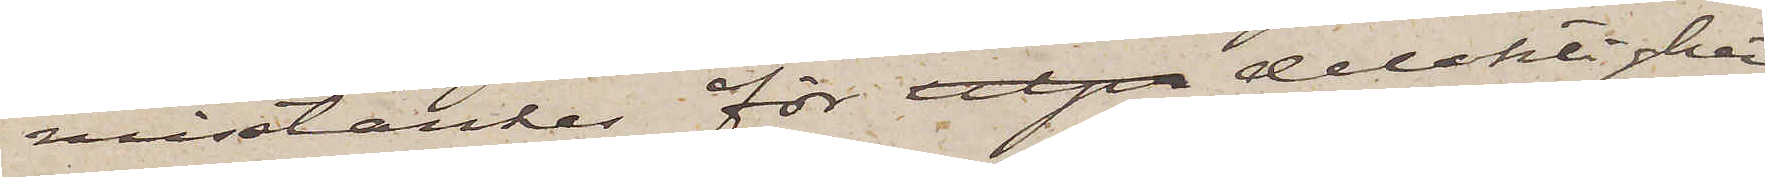misstänkes för utpr delaktighet
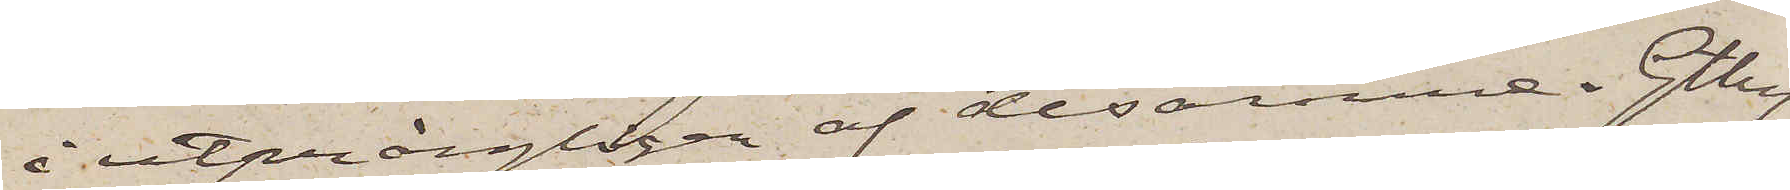i utprångligen af desamme. Gtbrg
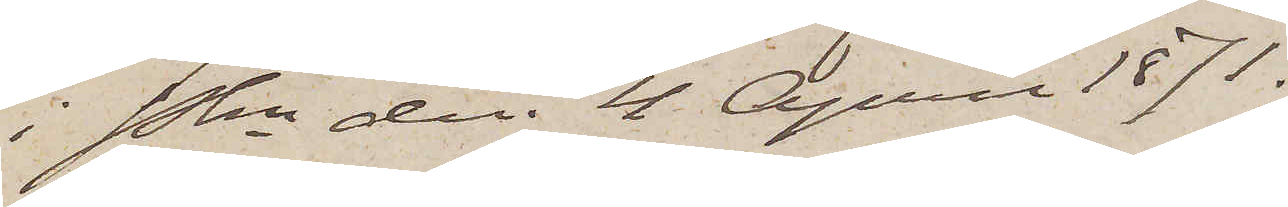i Pkn den 4 April 1871.
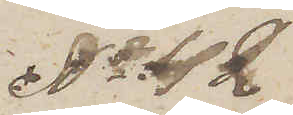No 42
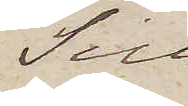Till
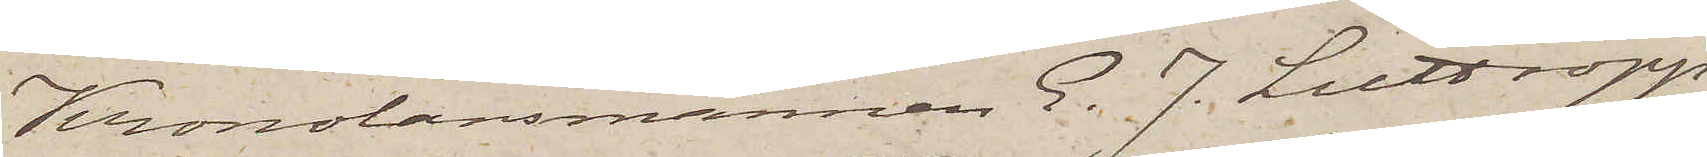Kronolänsmannen E. J. Luttropp
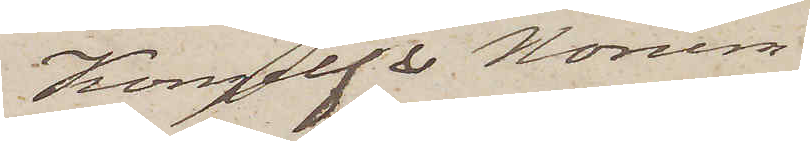Kongelf & Norum.
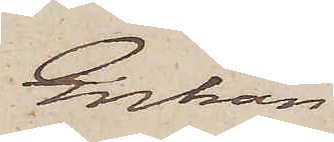Enkan
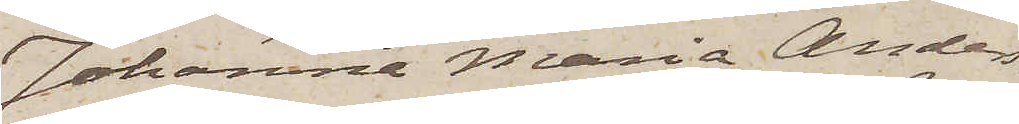Johanna Maria Anders¬
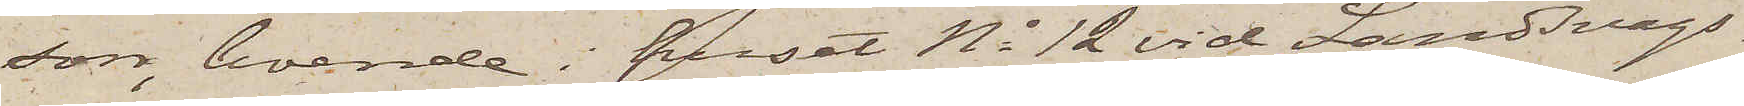son, boende i huset No 12 vid Landsvägs¬
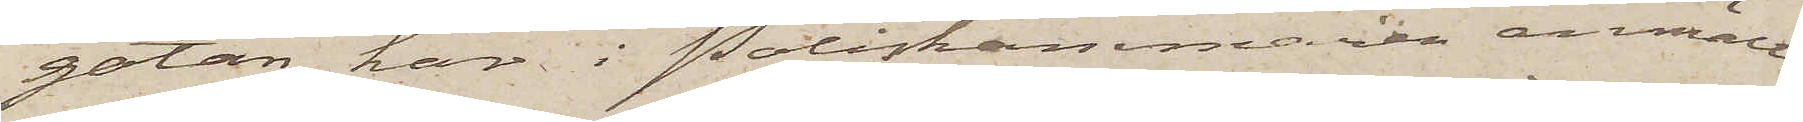gatan, har i Poliskammaren anmält
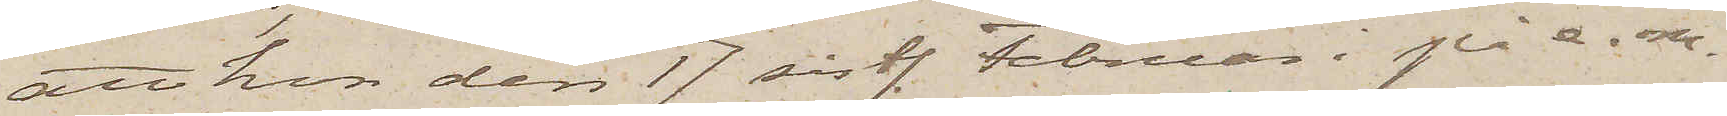att hon den 17 sistl. Februari på e. m.
